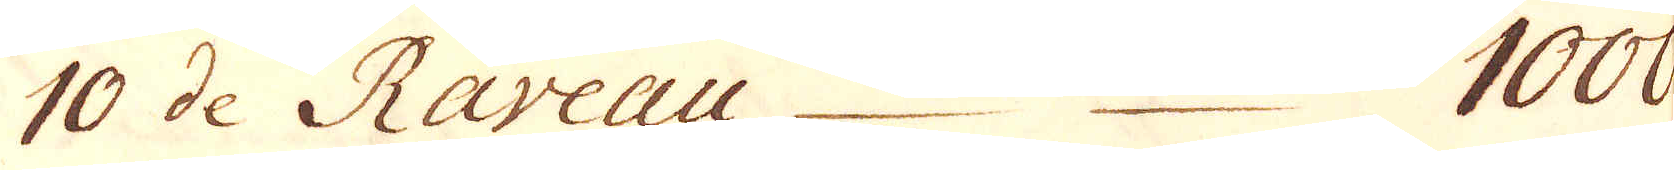10 de Raveau 1000.
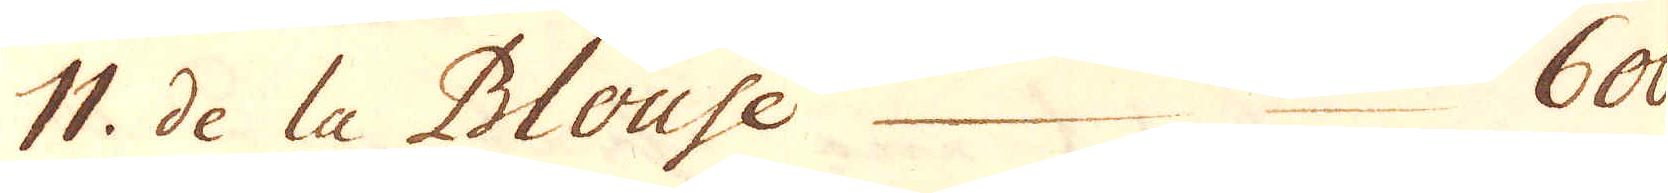11. de la Blouse 600
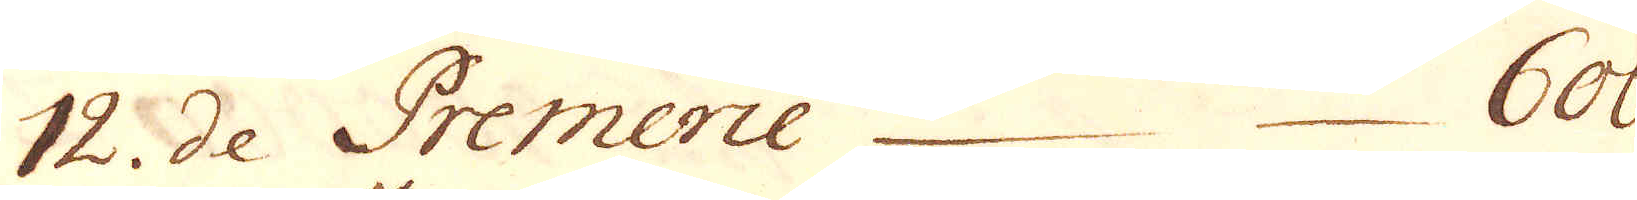12. de Premerie 600.
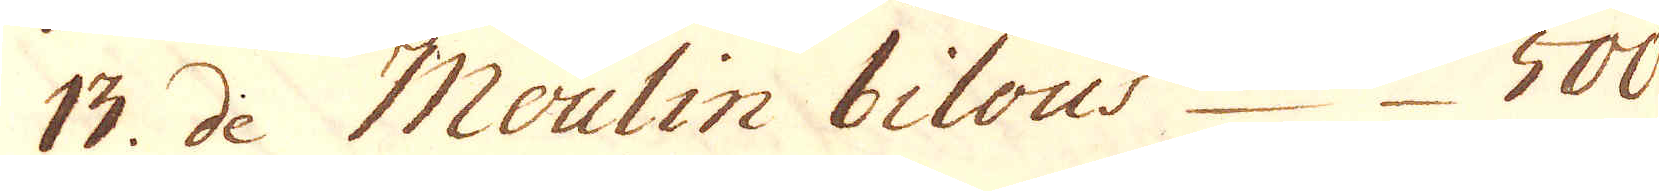13. de Moulin bilous 500.
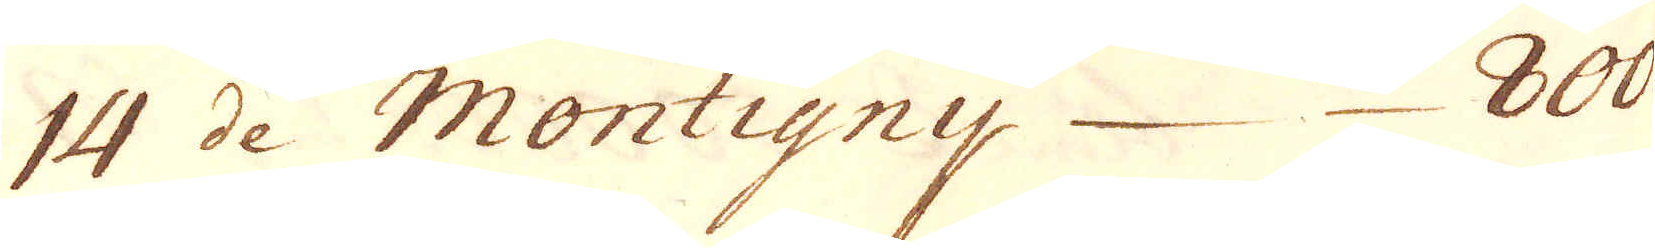14 de Montigny 800.
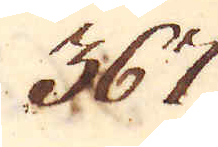367.
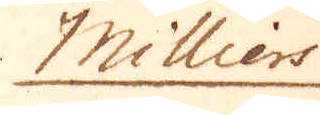Milliers
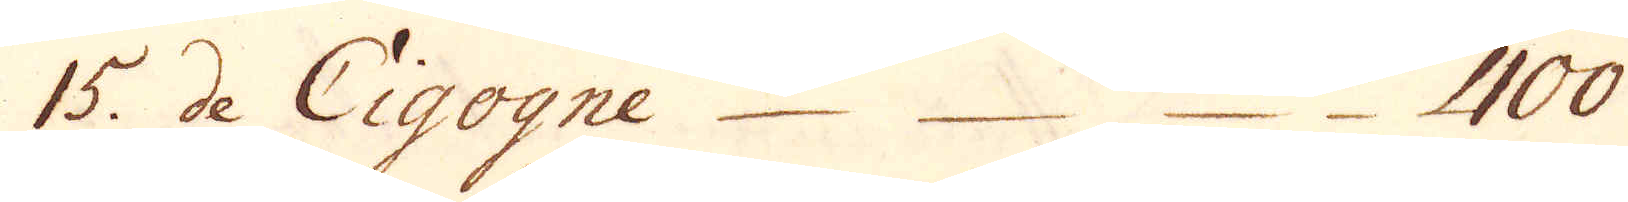15. de Cigogne. 400.
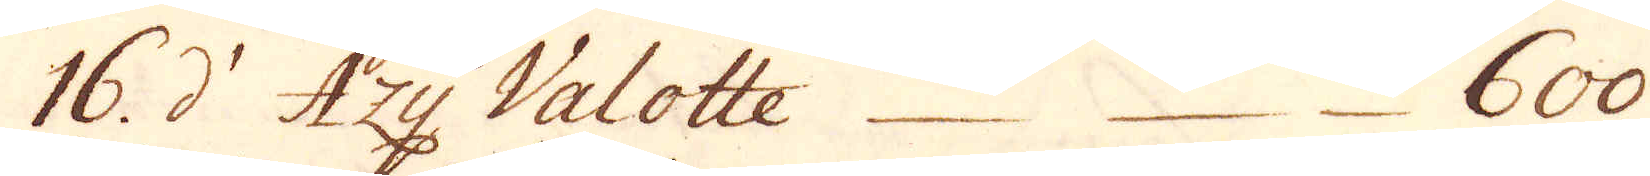16.  d' Azy Valotte. 600.
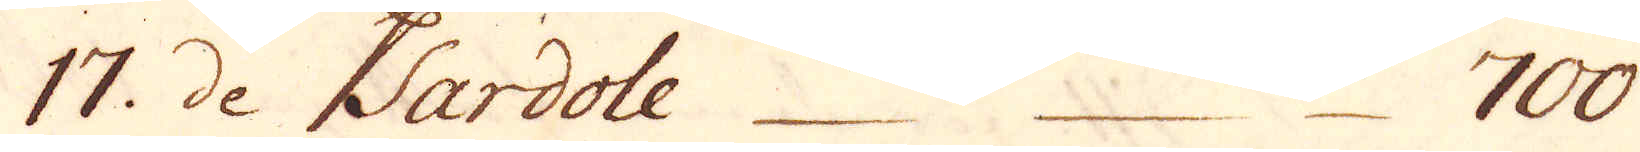17. de Sardole 700.
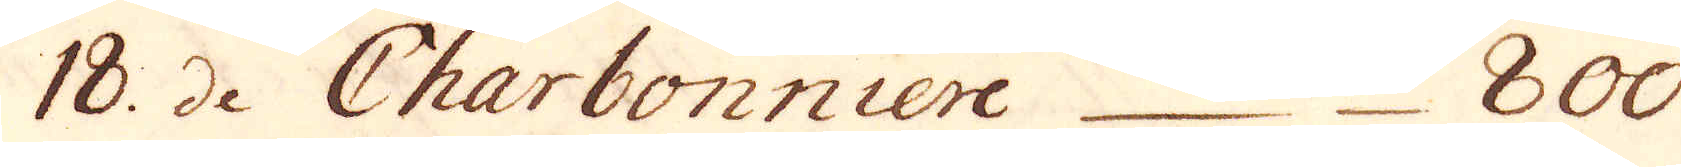18. de Charbonniere  800
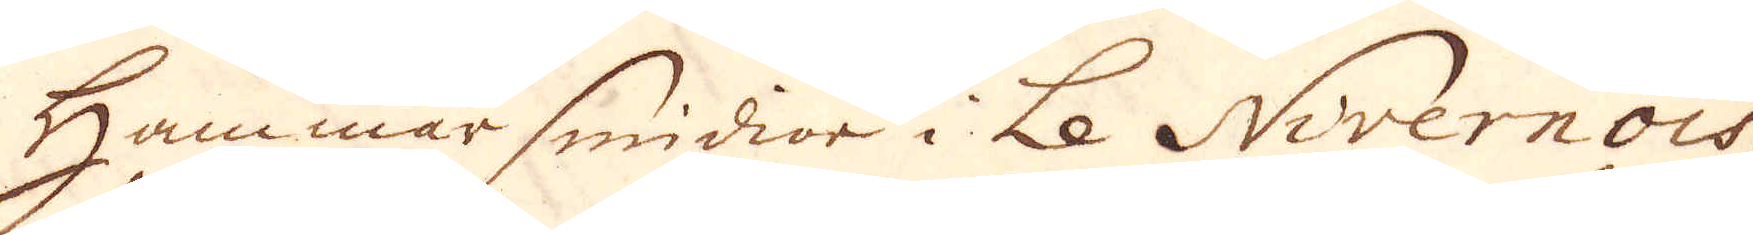Hammarsmidior i Le Nivernois,
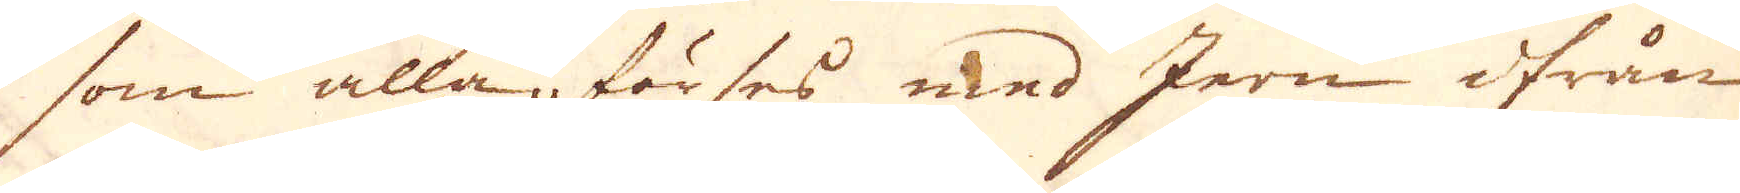som alla, förses med Jern ifrån
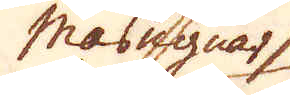Masugnar
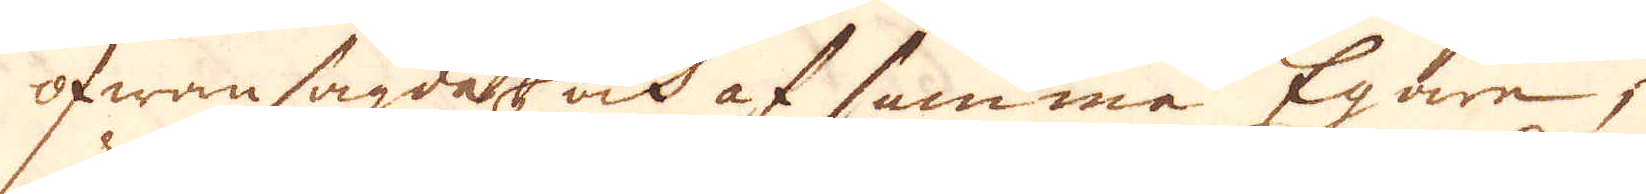ofwansagda och af samma Egare,
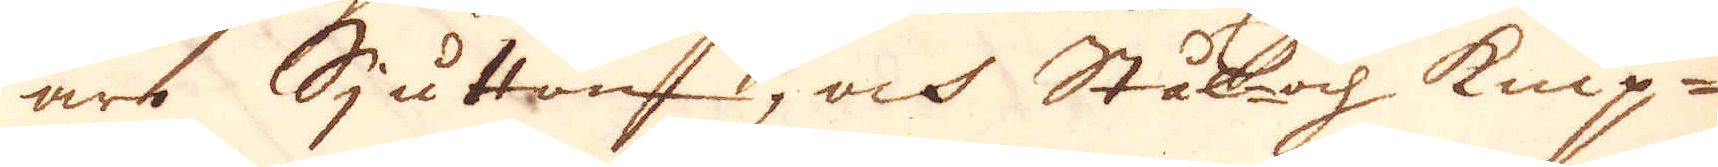äro Sjutton, och Stål- och knip-
